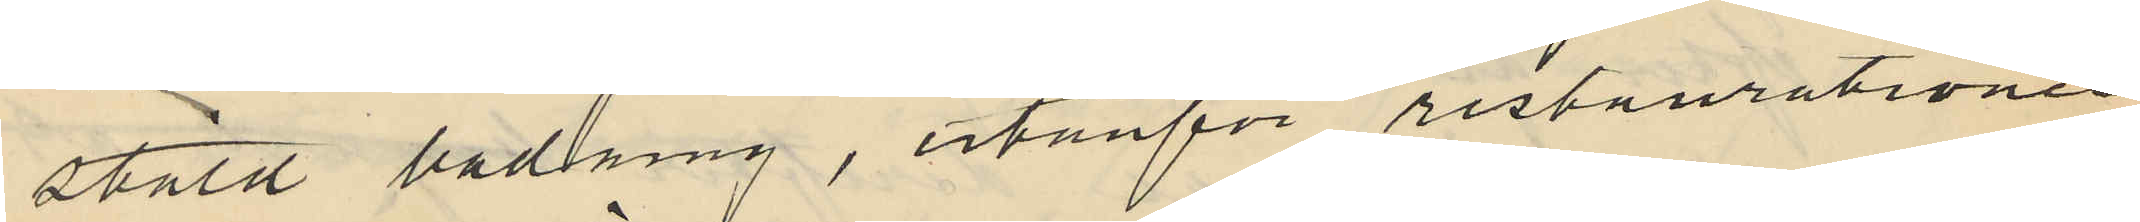stäld badning, utanför resturationen
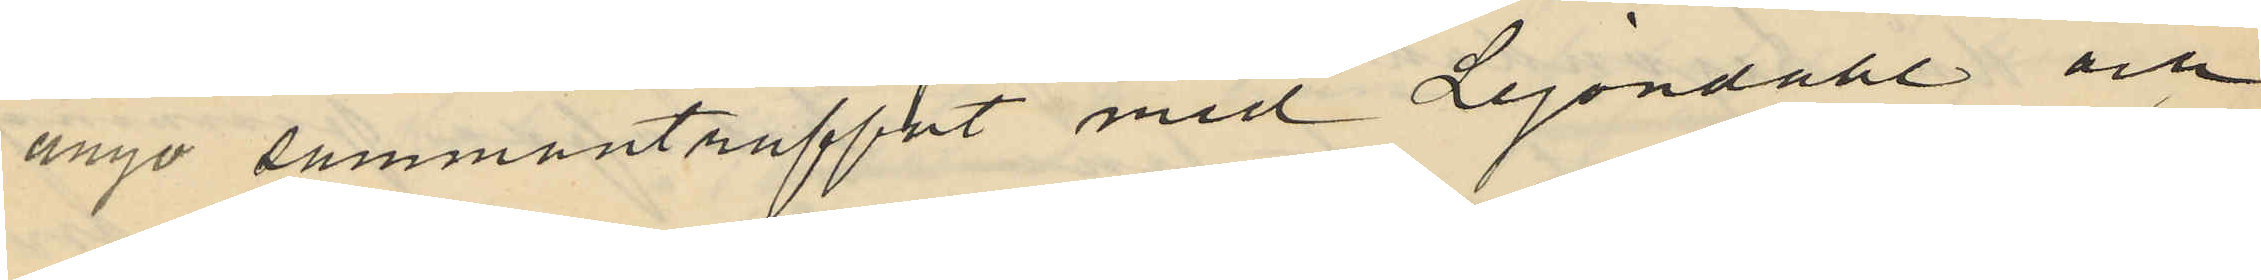ånyo sammanträffat med Lejondahl och
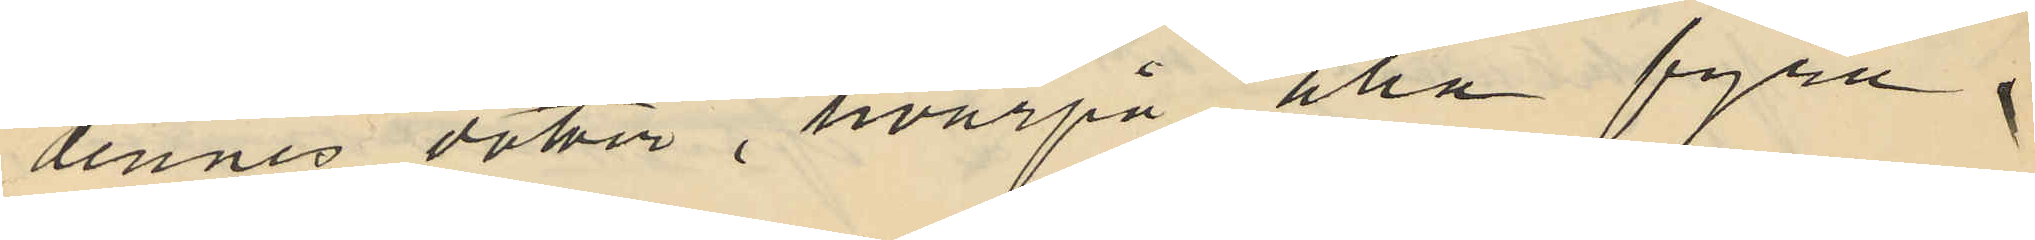dennes dotter, hvarpå alla fyra i
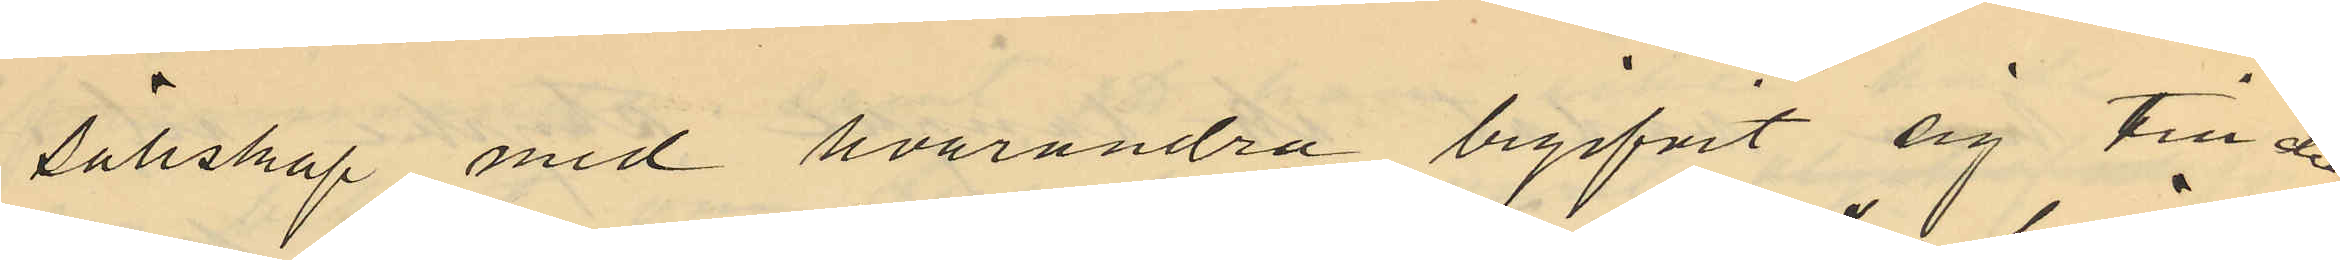sällskap med hvarandra begifvit sig till den
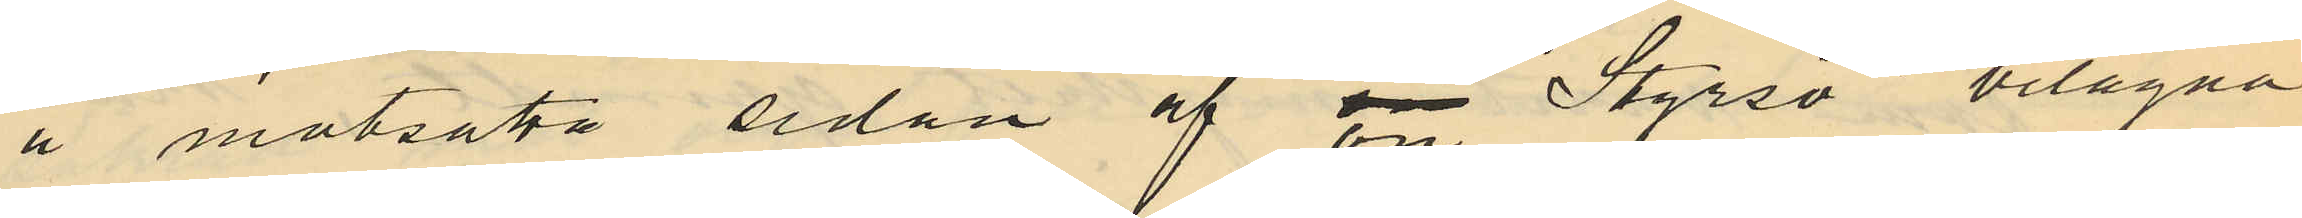å motsatta sidan af ön Styrsö belägna
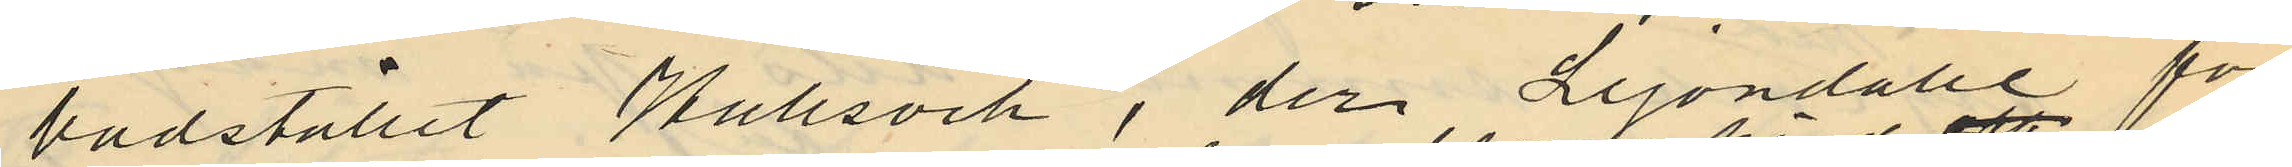badstället Hallsvik, der Lejondahl för¬
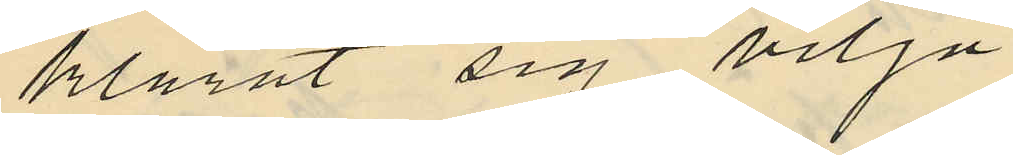klarat sig vilja
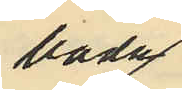bada
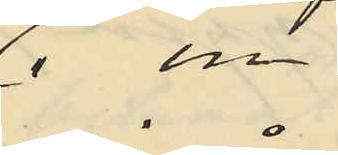 i en
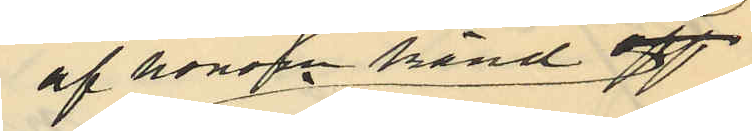af honom känd aft
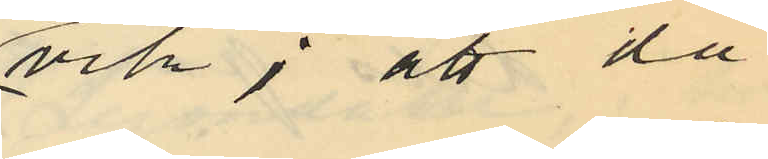vik; att då
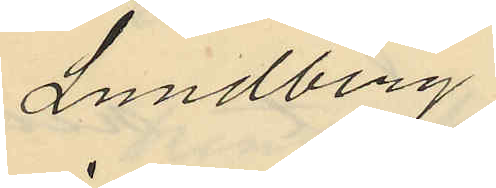Lundberg
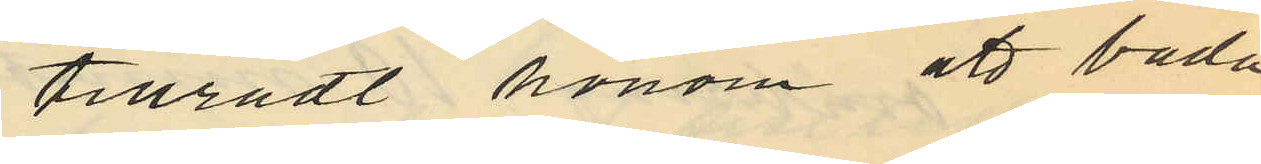tillrådt honom att bada
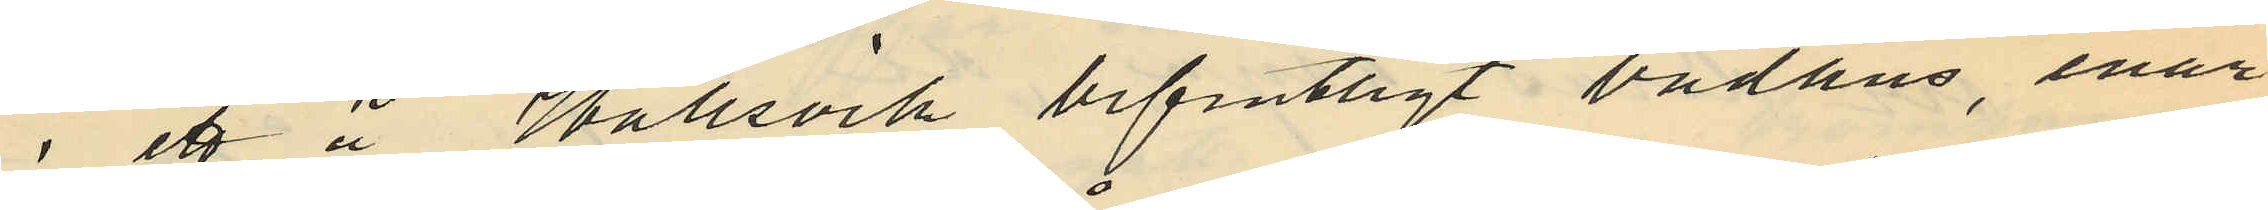i ett å Hallsvik befintligt badhus, enär
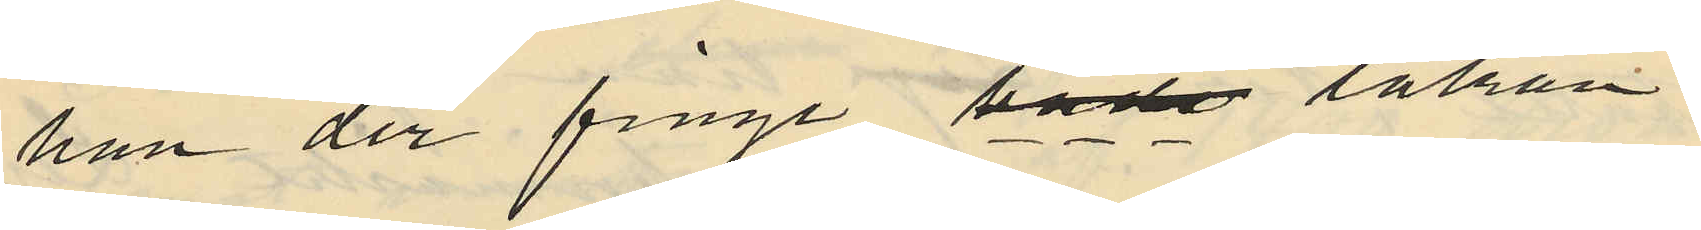han der finge både lakan
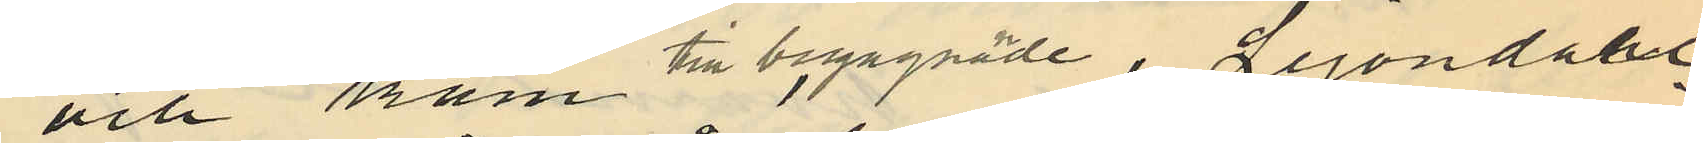och kam till begagnade, Lejondahl
